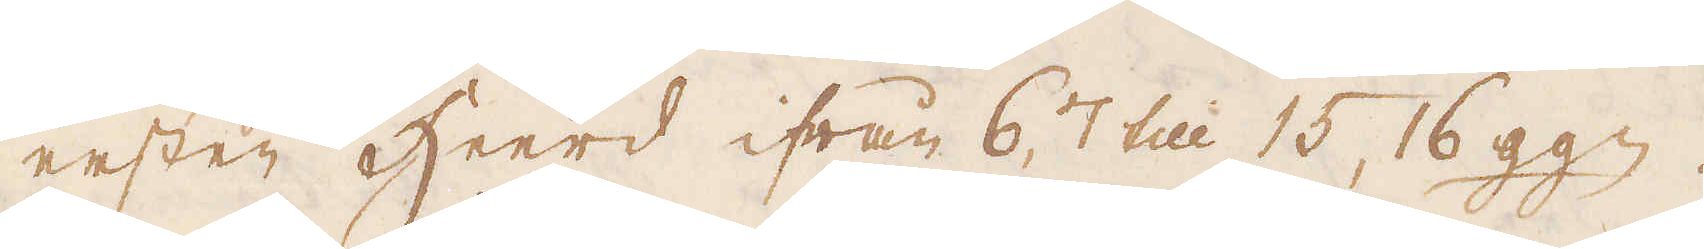nesten Heerd ifrån 6, 7 till 15, 16 ggn.
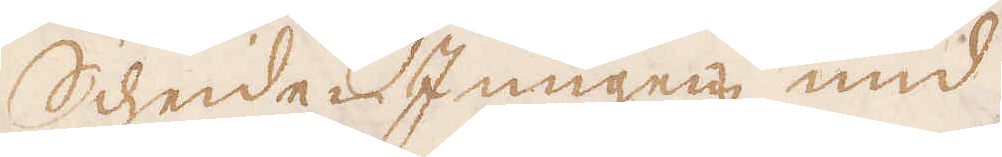Scheide-Jungens nud
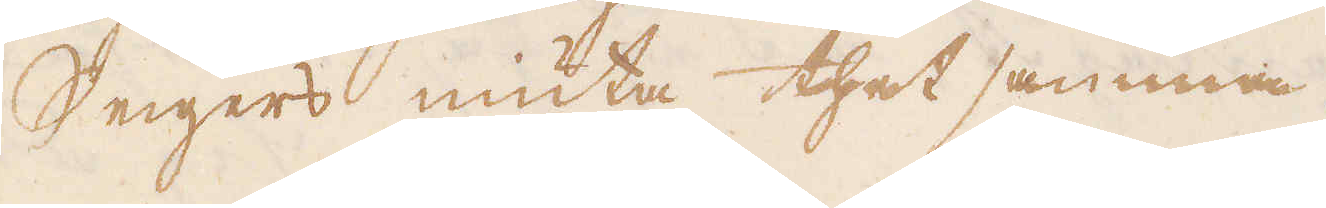Segers niuta thet samma
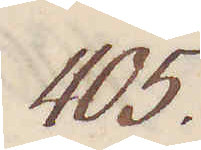405.
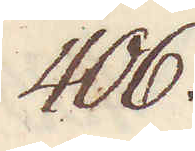406.
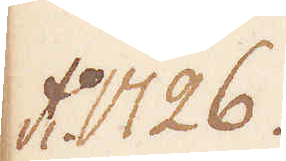Ao 1726.
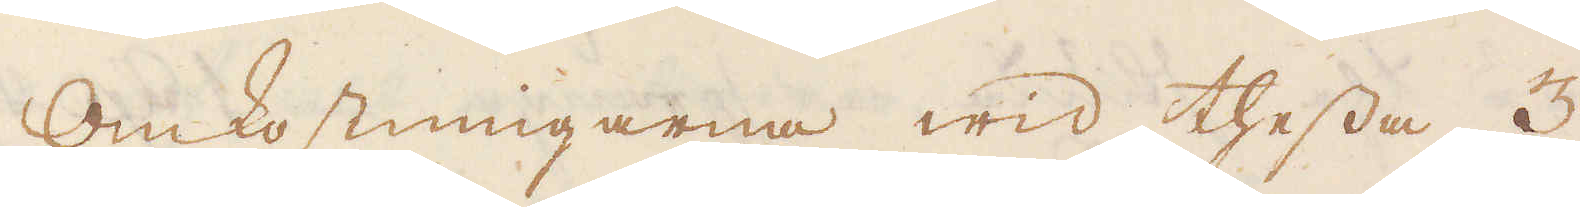Omkostningarna wid thessa 3
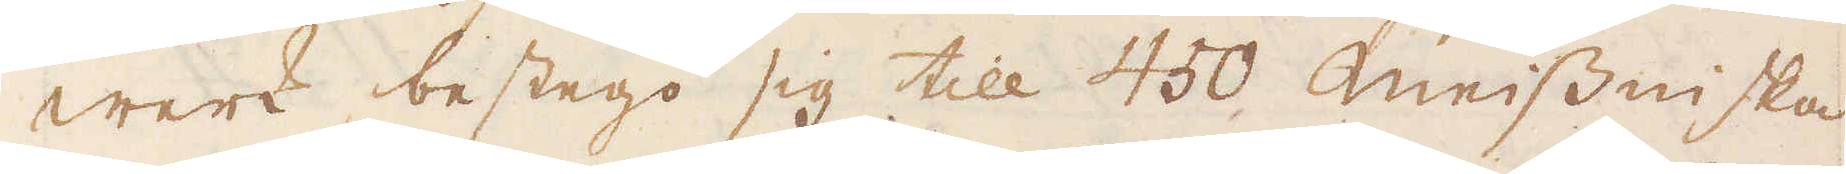werk bestego sig till 450 Meissniska
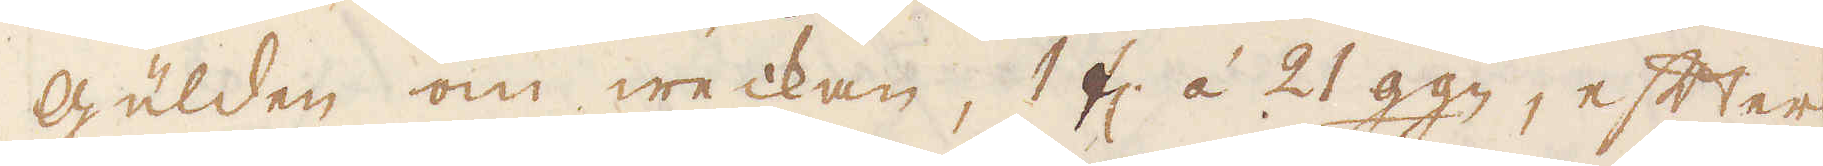Gülden om weckan, 1 fl á 21 ggn, efter
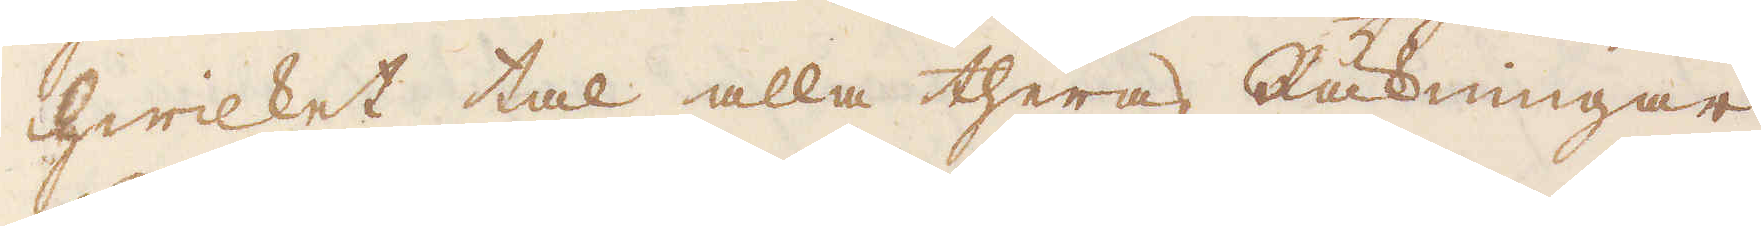hwilket tal alla theras Räkningar
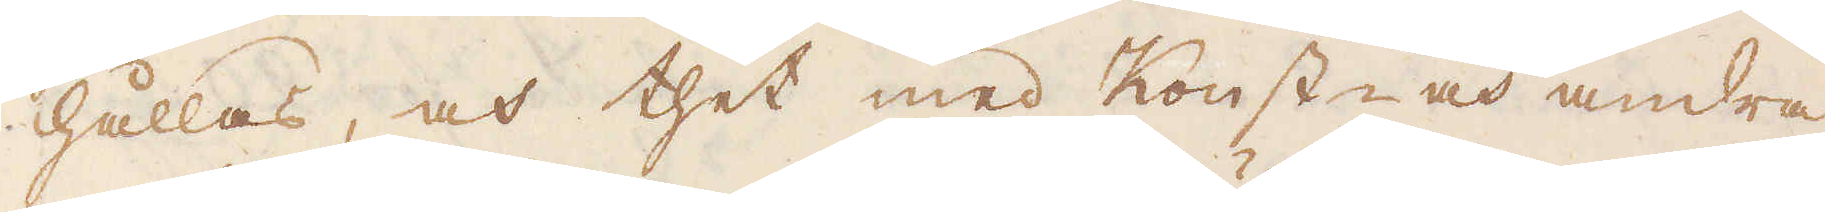hållas, och thet med Konst- och andra
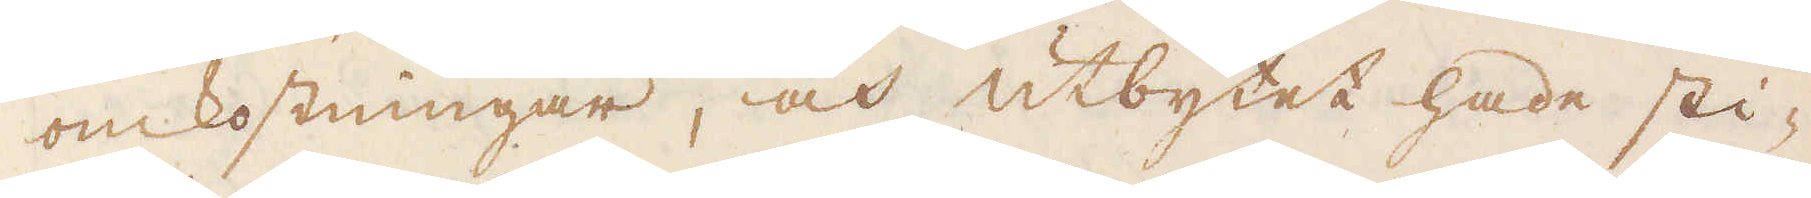omkostningar, och utbytet hade sti-
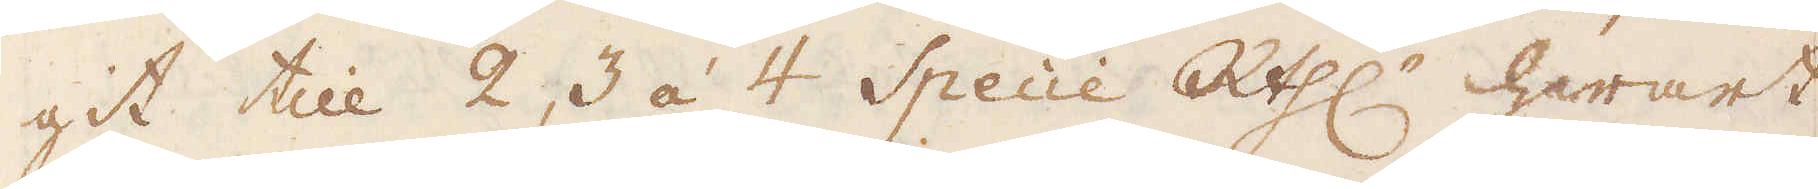git till 2, 3 à 4 Specie R:thl:r hwart
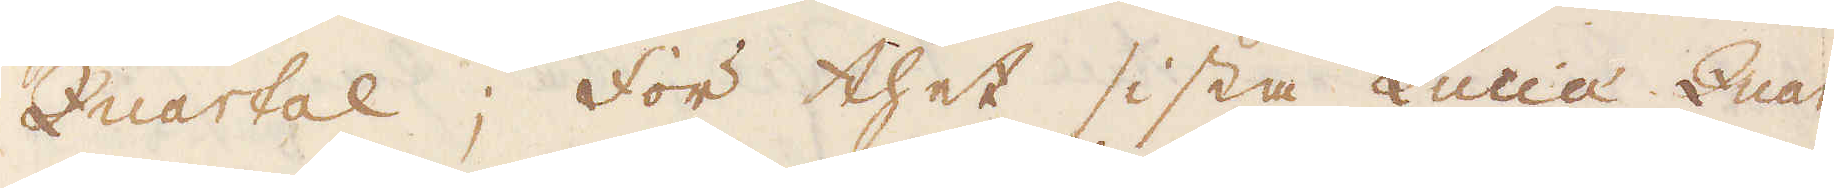Quartal; för thet sista Lucia Quar-
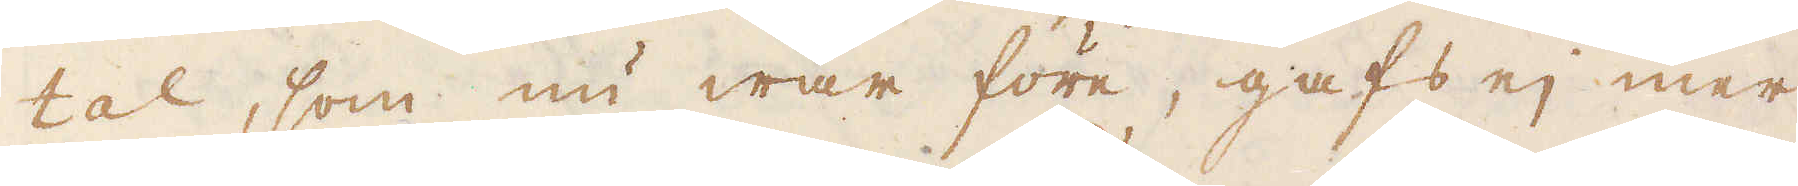tal, som nu war före, gafs ej mer
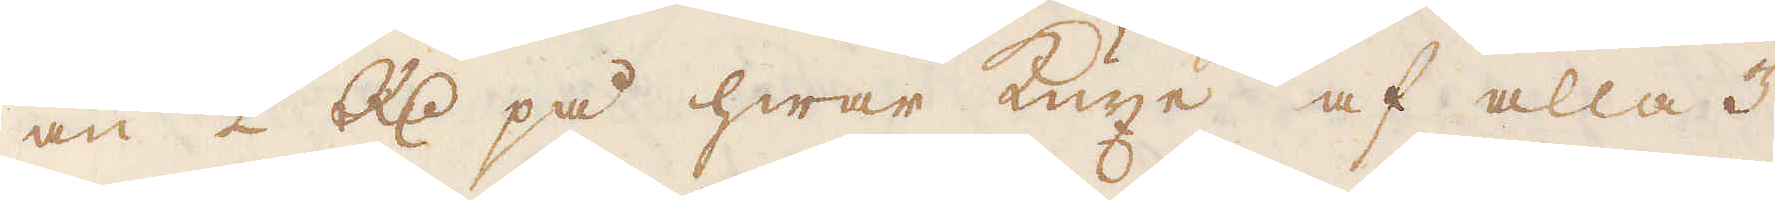än 2 R:dr på hwar kuxe af alla 3
